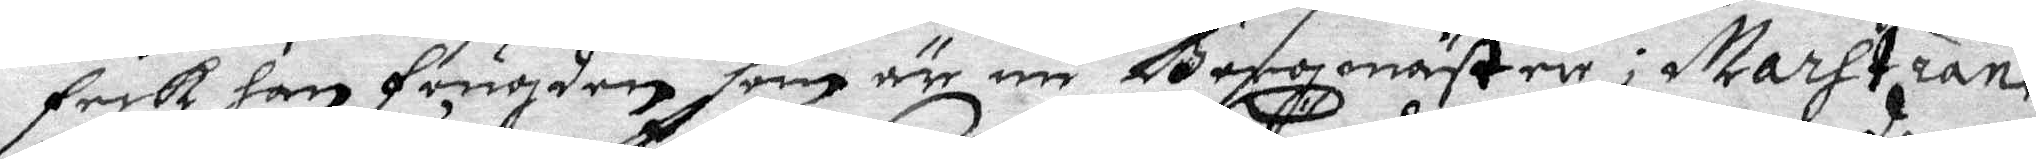feck han fougden som är nu Borgmästare i Marstrand
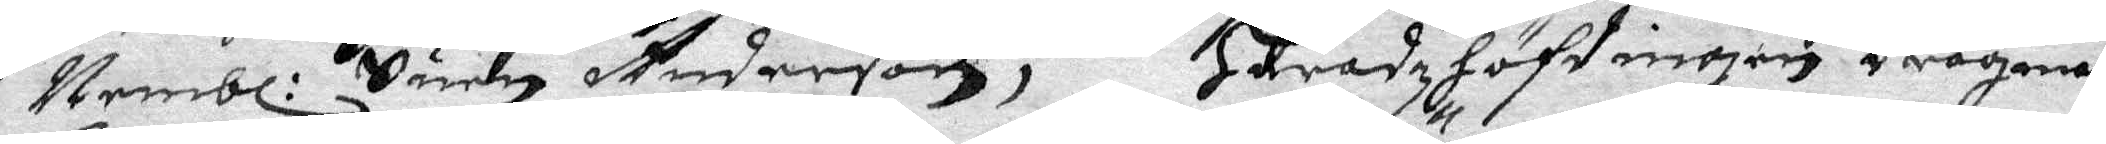Nembl: Suen Anderson; Häradzhöfdingen Dragman
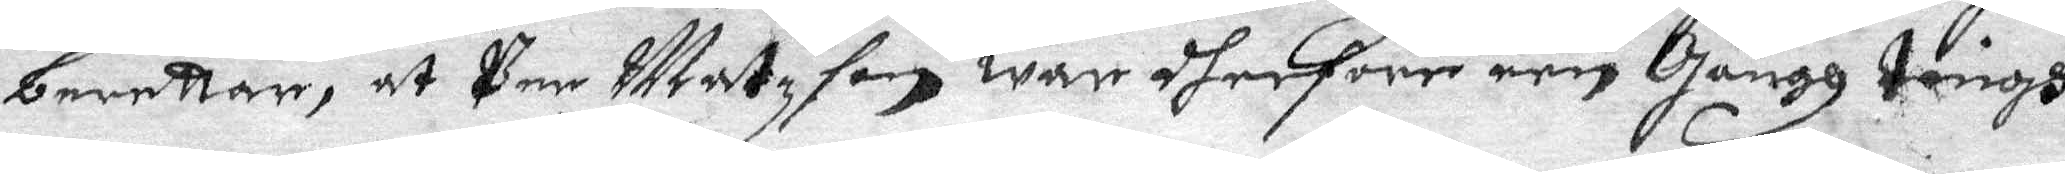berettar, at Per Matzson war dher före een Gångh tingh¬
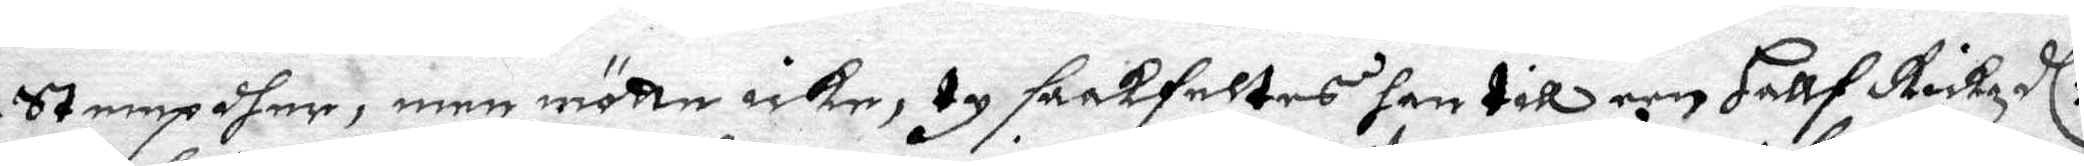stempdher, men mötte icke, ty saakfeltes han till een Hallf Rikzdl:r
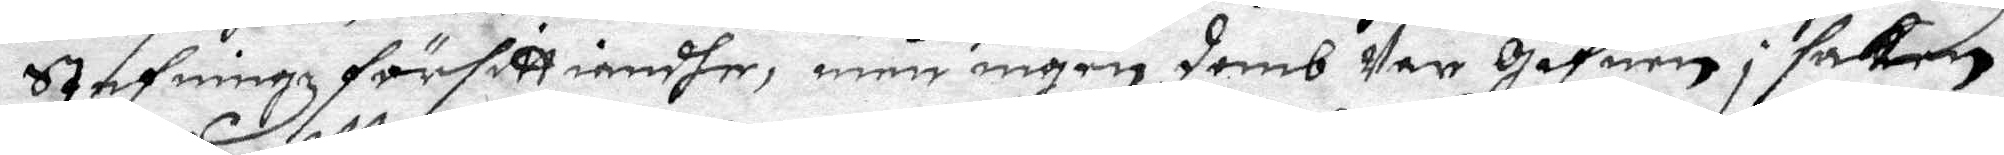Stefningz för sitt iandhe, men ingen domb Var Gifuen i saken.
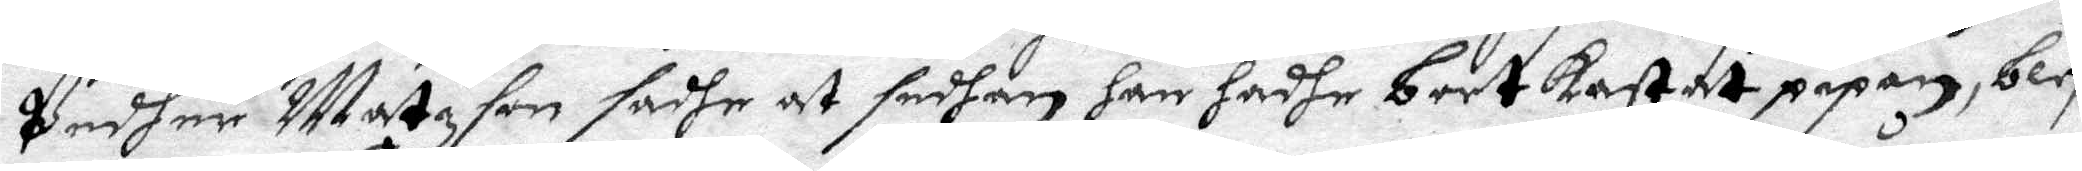Pedher Matzsonsadhe at sedhan han hadhe bortkastat pipan, blef
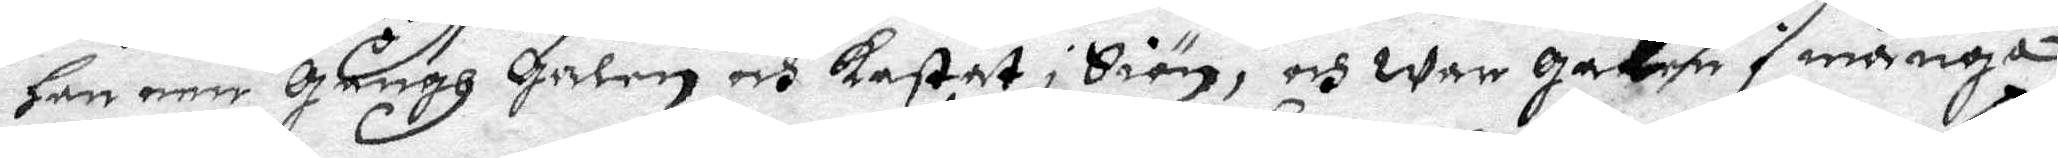han een Gångh Galen och kastat i Siön, och war galen i många 
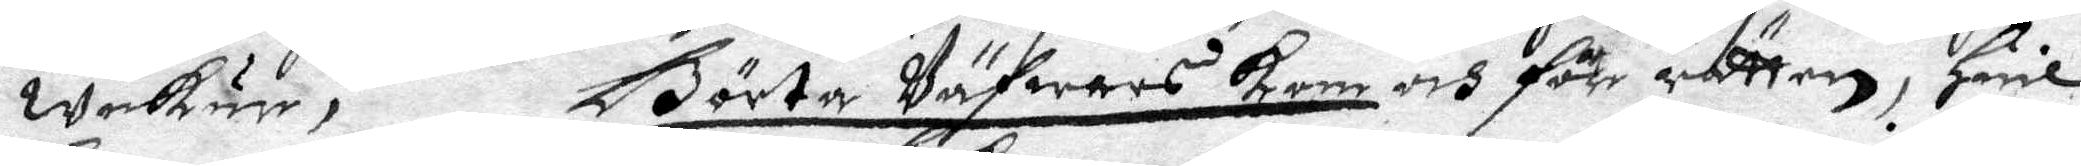weckur, Börta Väfwars kom och för rätten, Huil¬
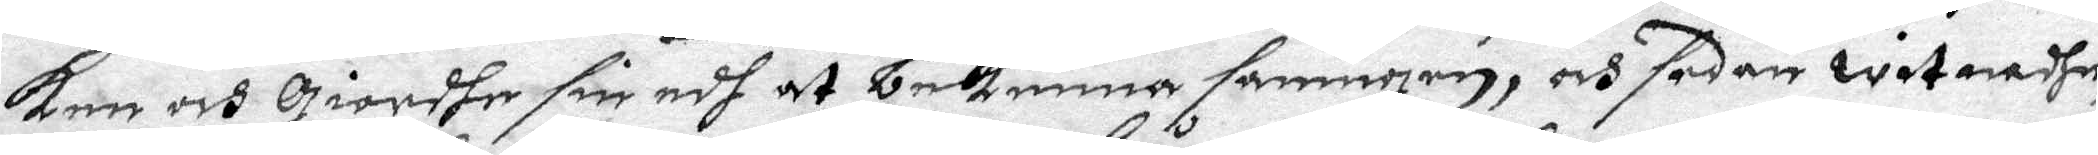ken och Giordhe sin edh at bekenna saningen, och sedan witnandhe,
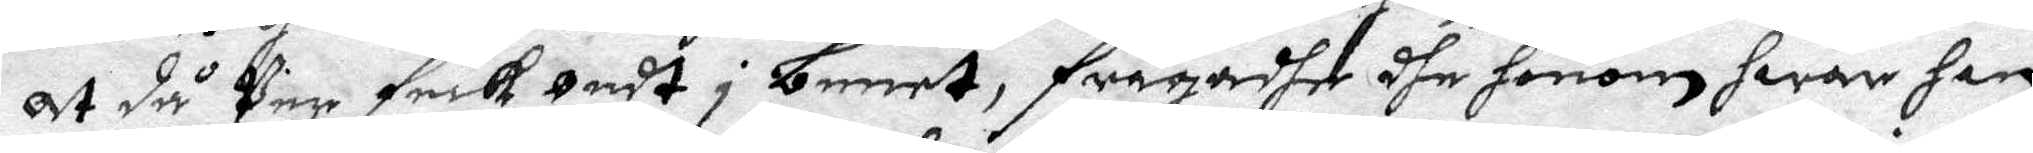At då Per feck ondt i benet, frågadhe dhe honom hwem han
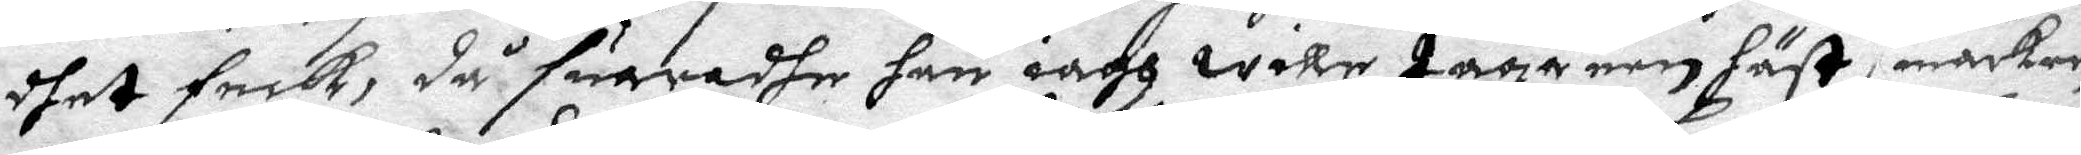dhet feck, då suaradhe han iagh wille taga een häst i marken
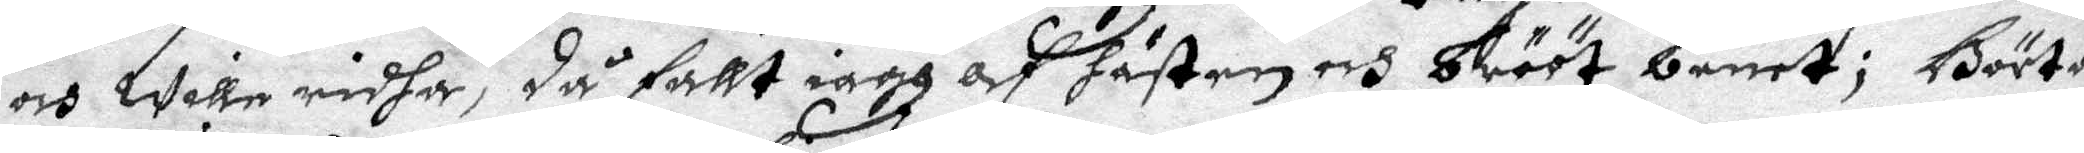och wille ridha, då fallt iagh af hästen och bröt benet; Börta
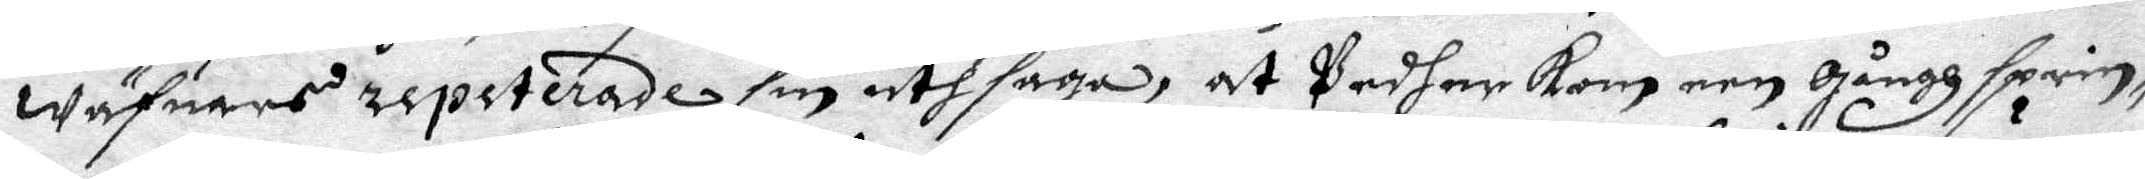Wäfuars repeterade sin utsaga, at Pedher kom een gångh sprin¬
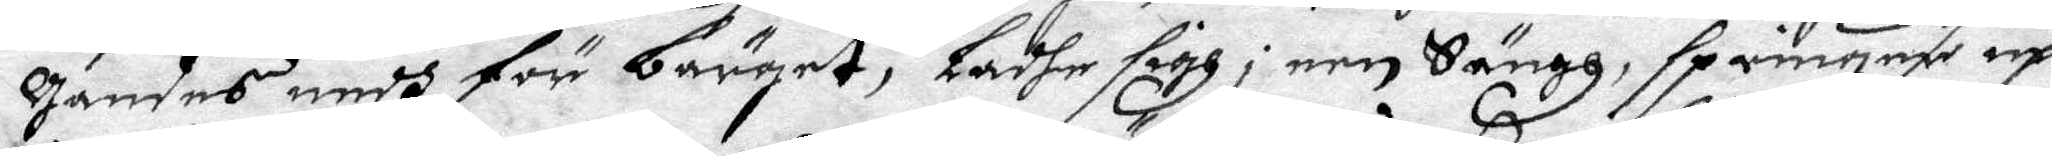gandes nedh för bärget, ladhe sigh i een Sängh, springer up
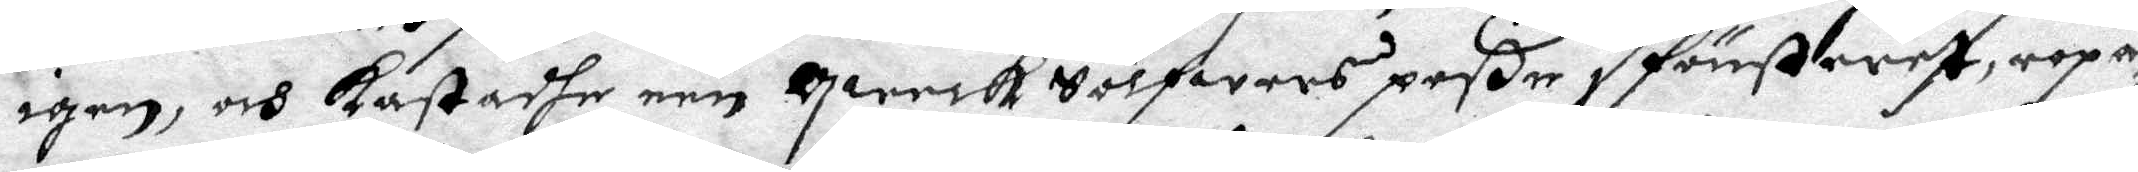igen, och kastadhe een qwerk Sölfwers poße i fönstret, ropa¬
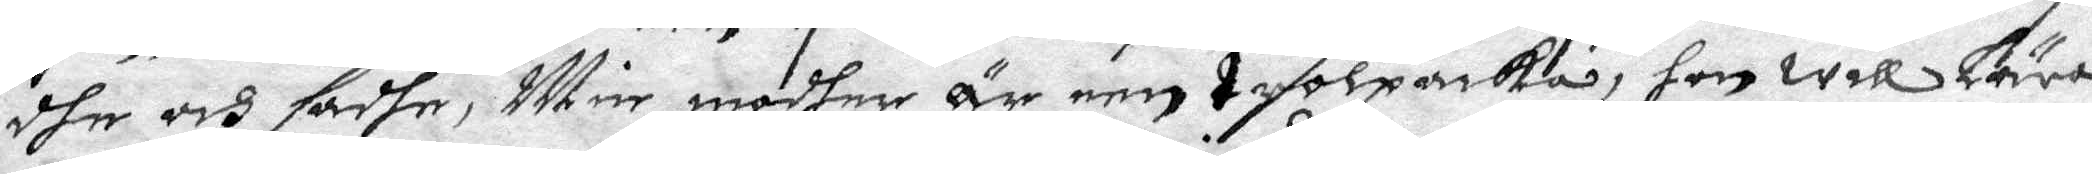dhe och sadhe, Min modher är een trolpacka, hon will Lära
